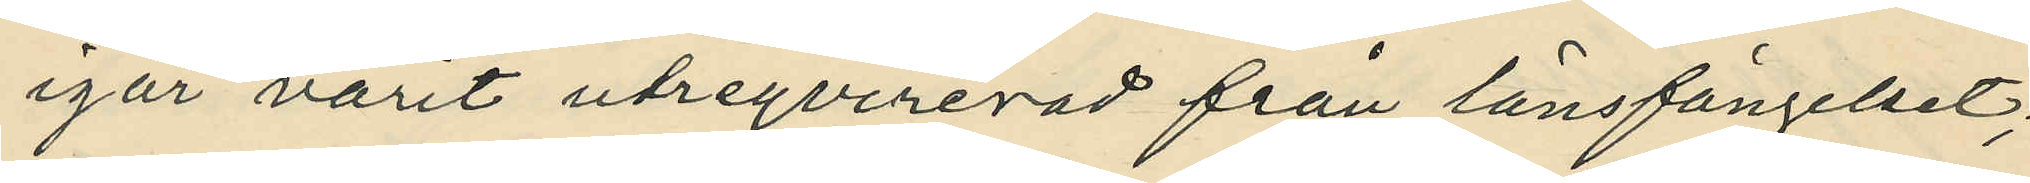igår varit utreqvirerad från länsfängelset;
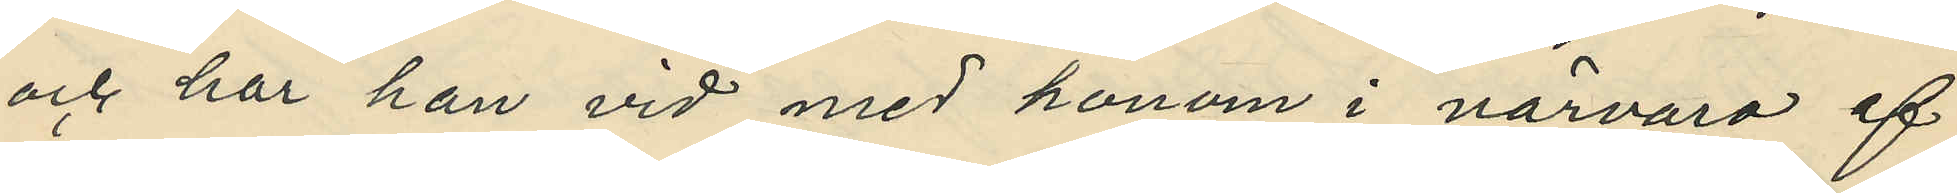och har han vid med honom i närvaro af
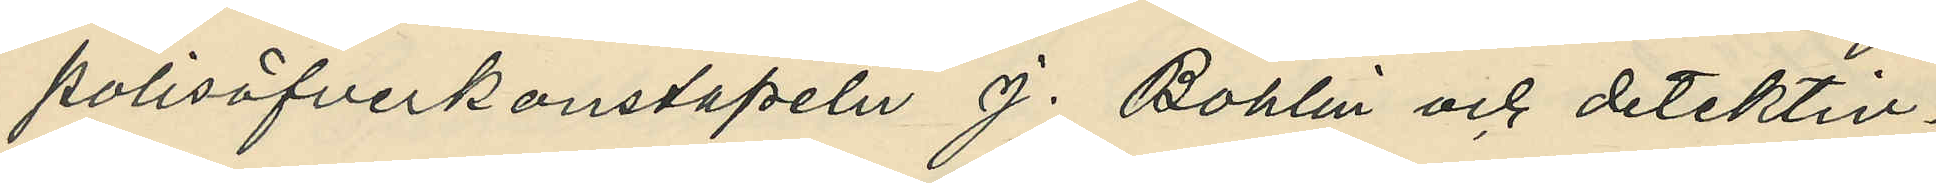polisöfverkonstapeln J. Bohlin och detektiv¬
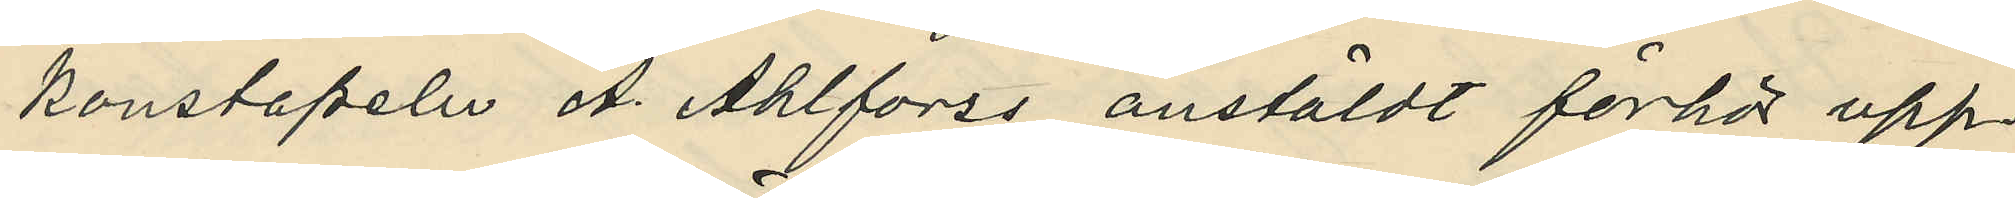konstapeln A. Ahlforss anstäldt förhör upp¬
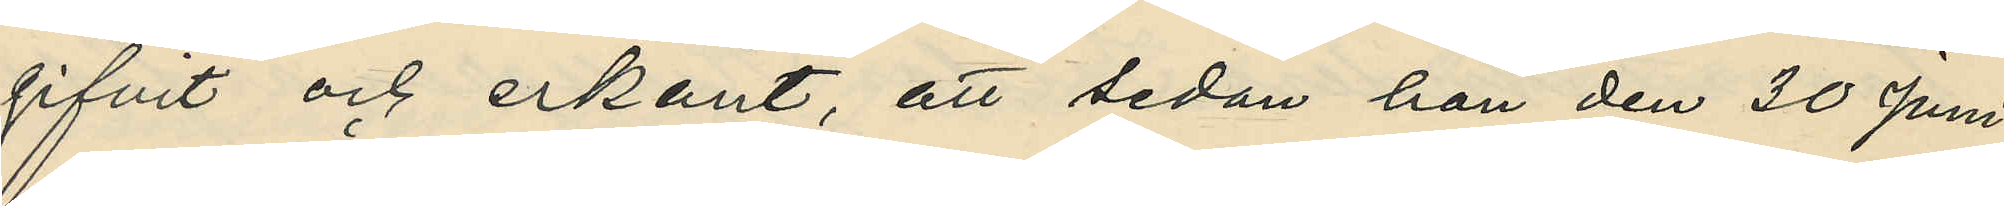gifvit och erkänt, att sedan han den 30 Juni
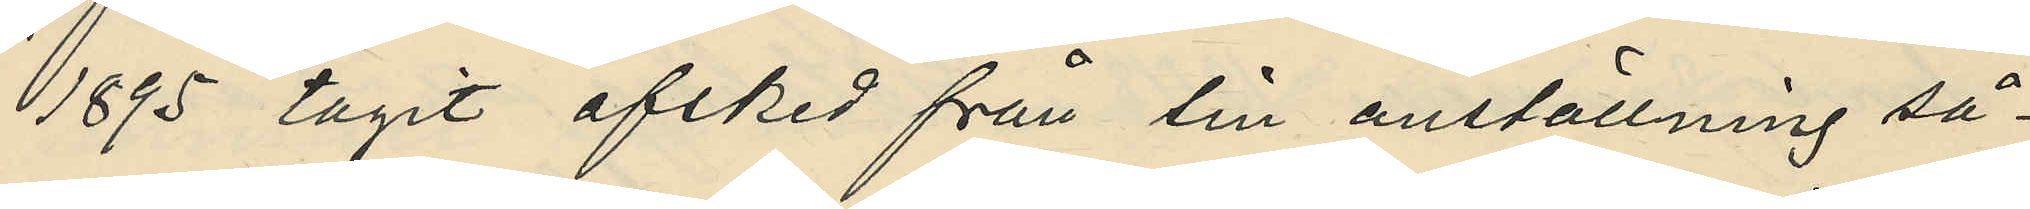1895 tagit afsked från sin anställning så¬
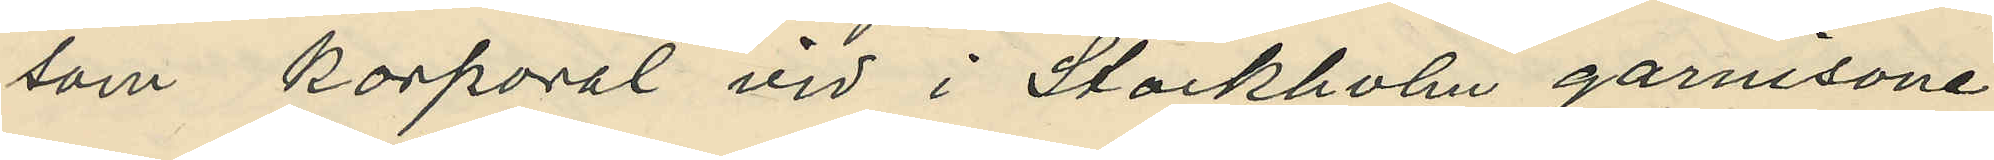som Korporal vid i Stockholm garnisone¬
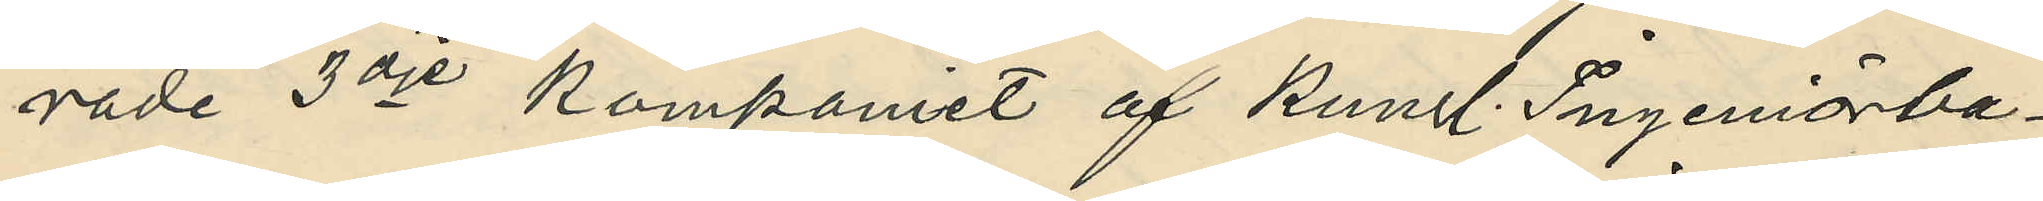rade 3dje Kompaniet af Kungl. Ingeniörba¬
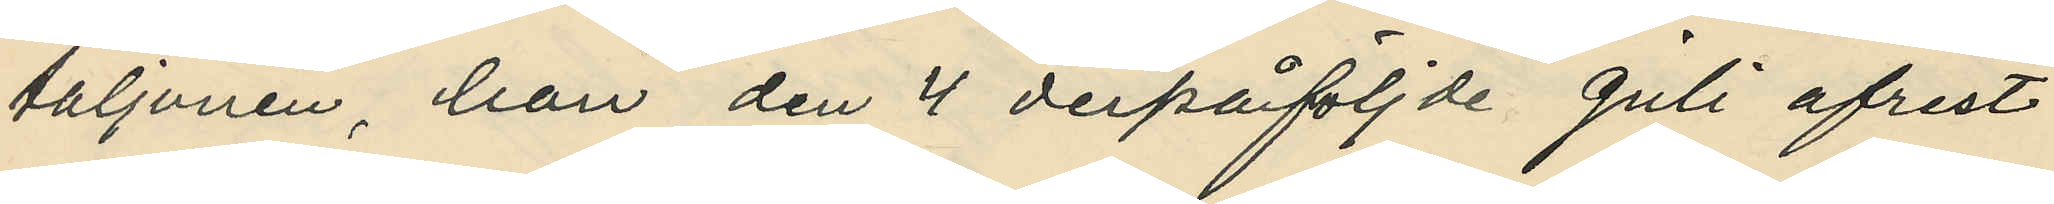taljonen, han den 4 derpåföljde Juli afrest
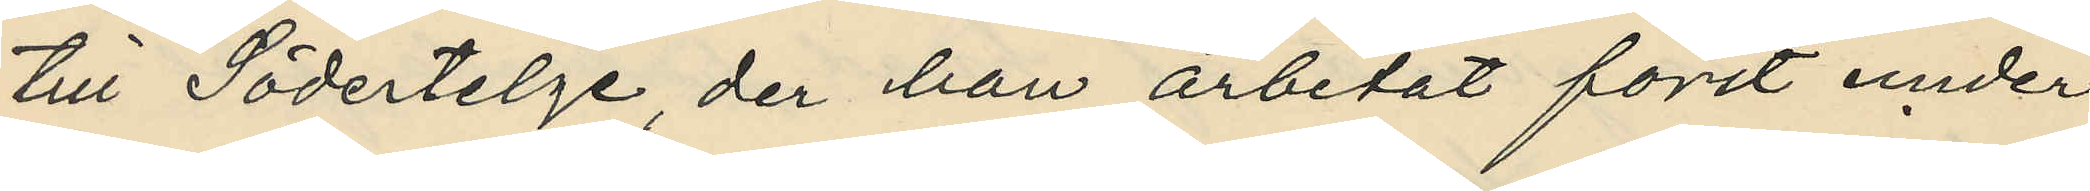till Södertelge, der han arbetat först under
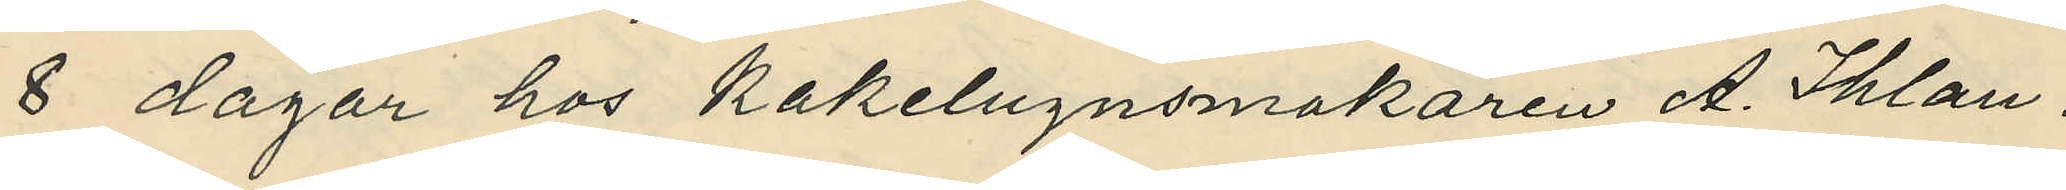8 dagar hos Kakelugnsmakaren A. Ihlan¬
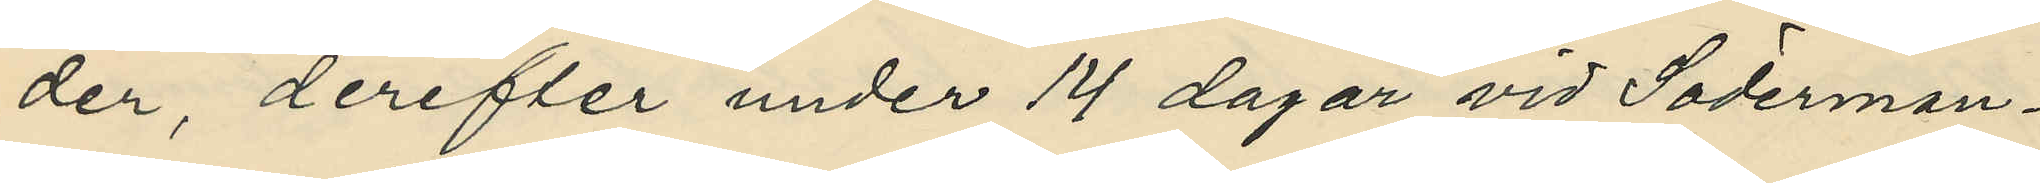der, derefter under 14 dagar vid Söderman¬
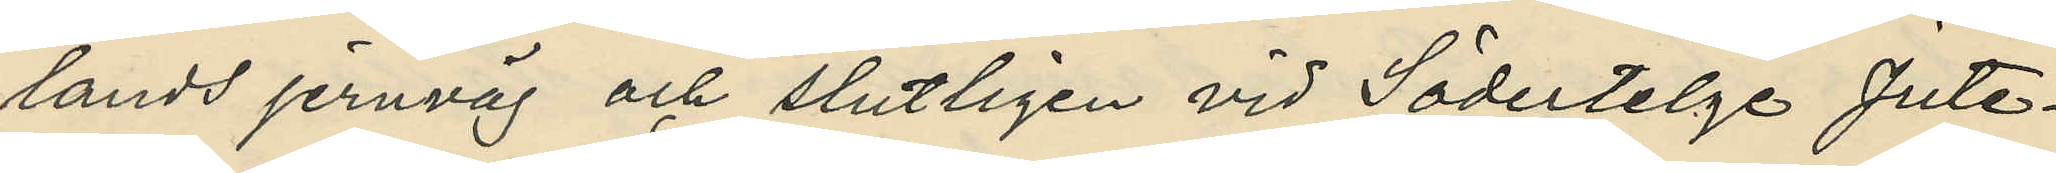lands jernväg och slutligen vid Södertelge Jute¬
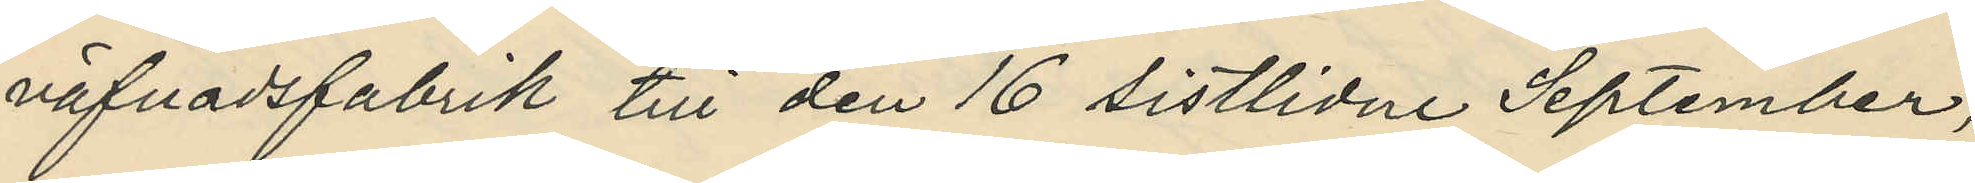väfnadsfabrik till den 16 sistlidne September,
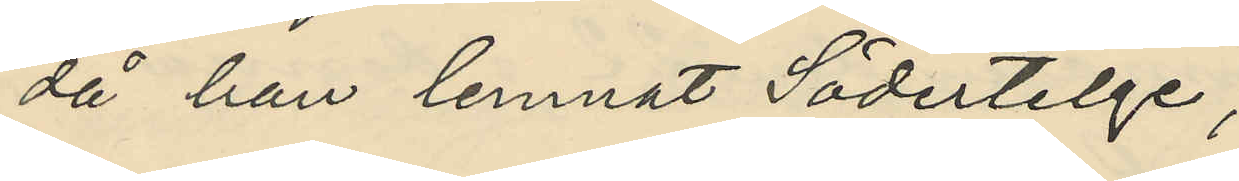då han lemnat Södertelge;
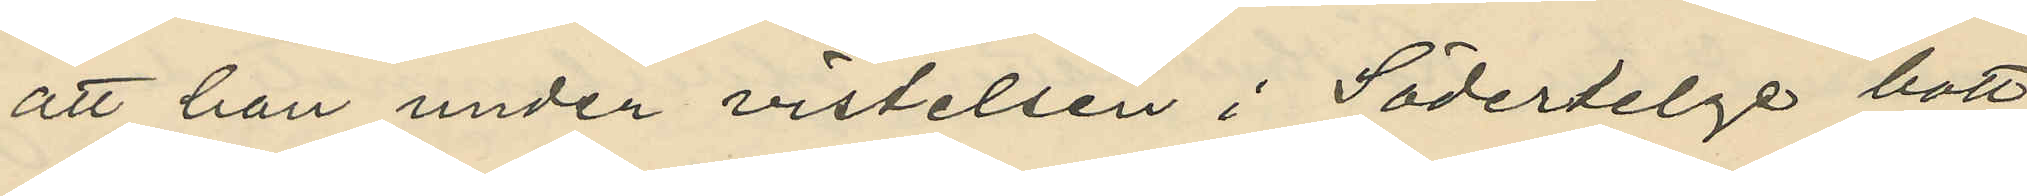att han under vistelsen i Södertelge bott
